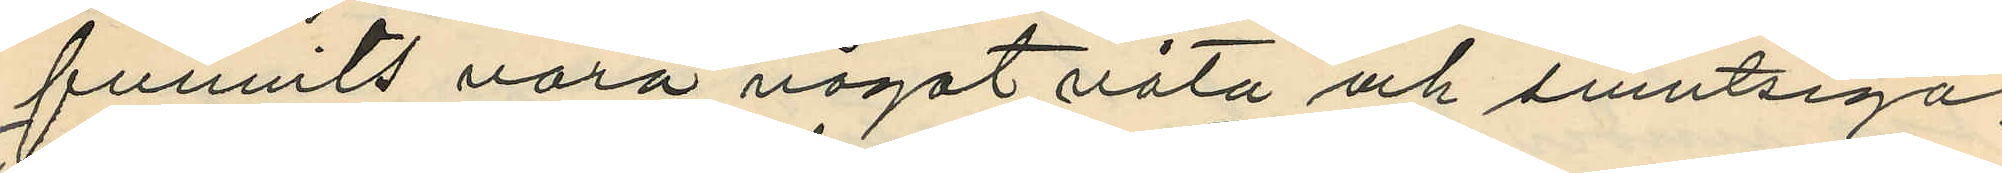funnits vara något våta och smutsiga;
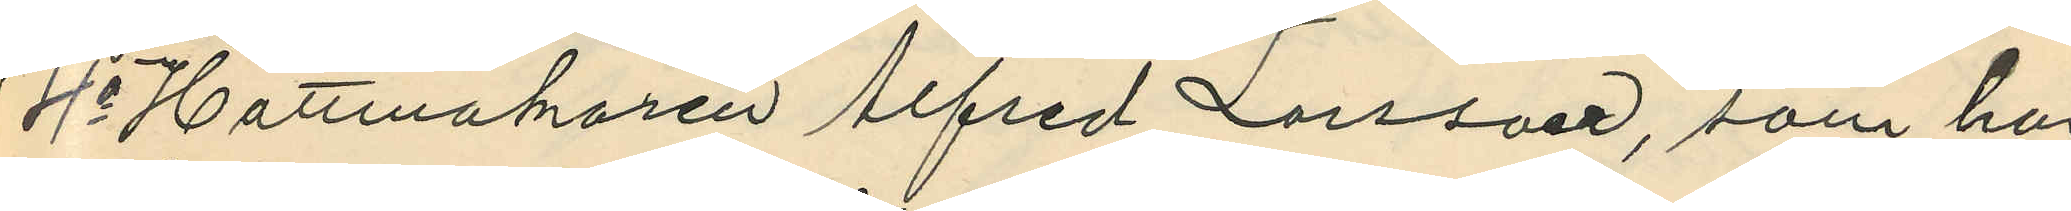4o Hattmakaren Alfred Larsson, som har
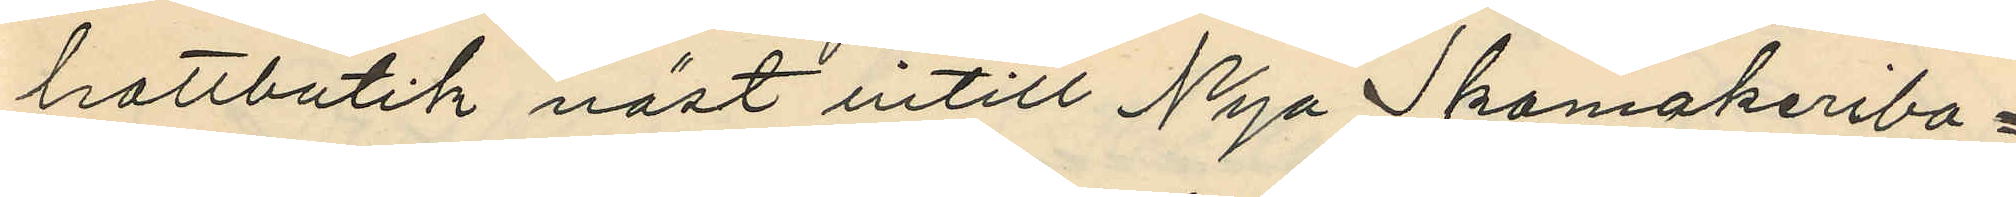hattbutik näst intill Nya Skomakeribo¬
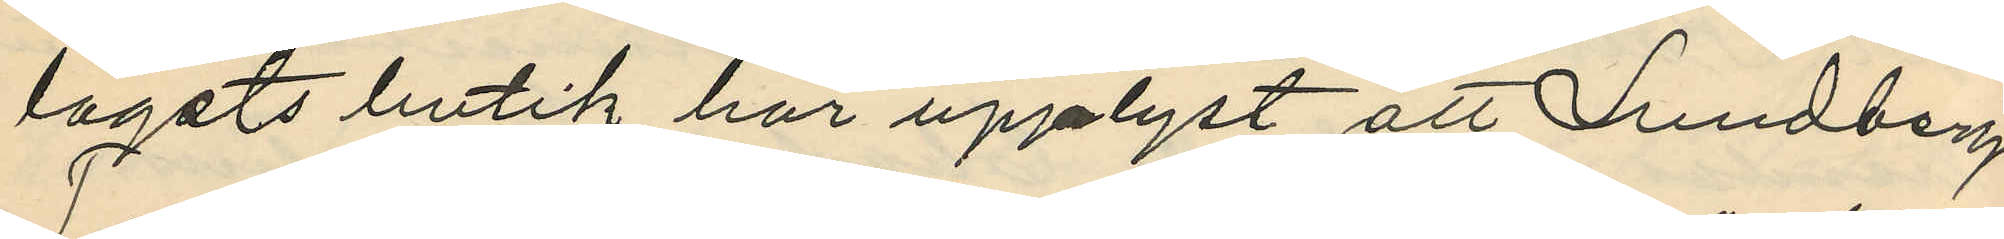lagets butik har upplyst att Lundberg
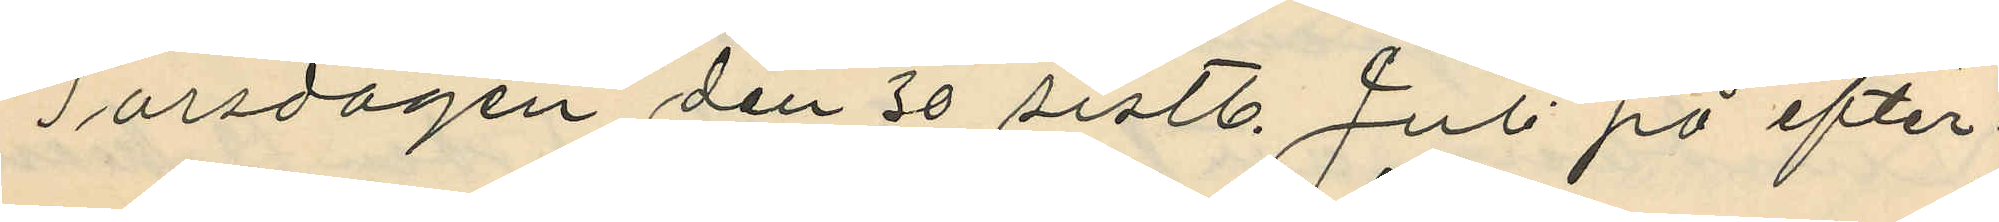Torsdagen den 30 sistl. Juli på efter¬
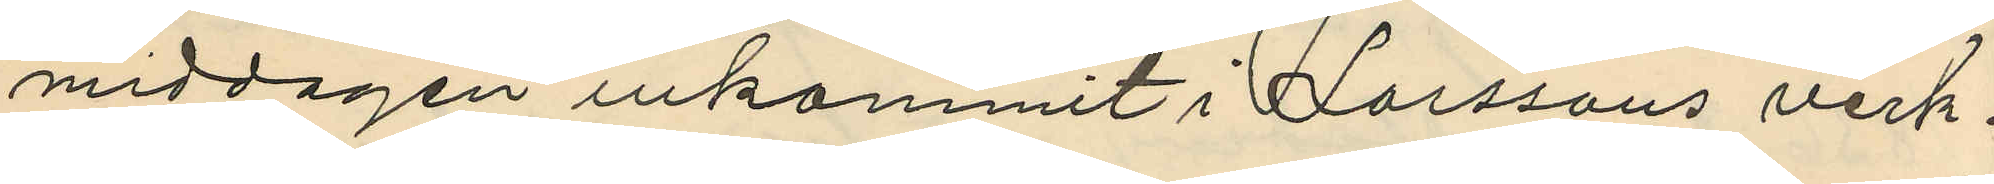middagen inkommit i Larssons verk¬
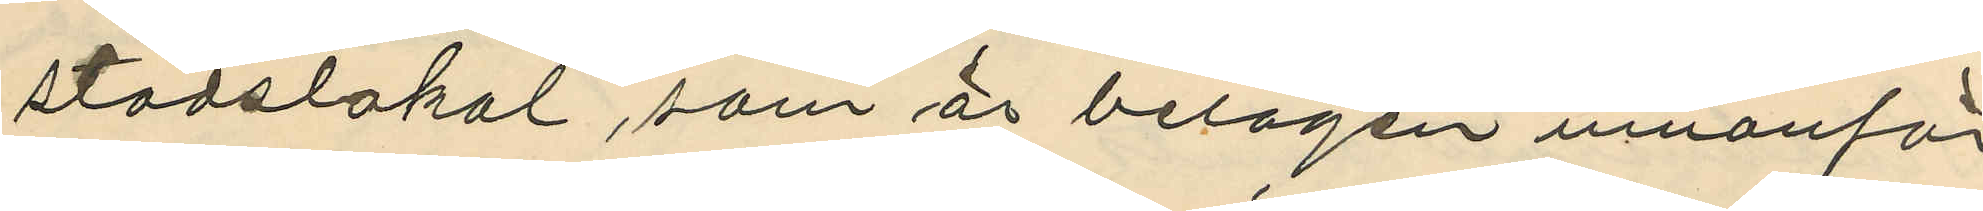stadslokal, som är belägen innanför
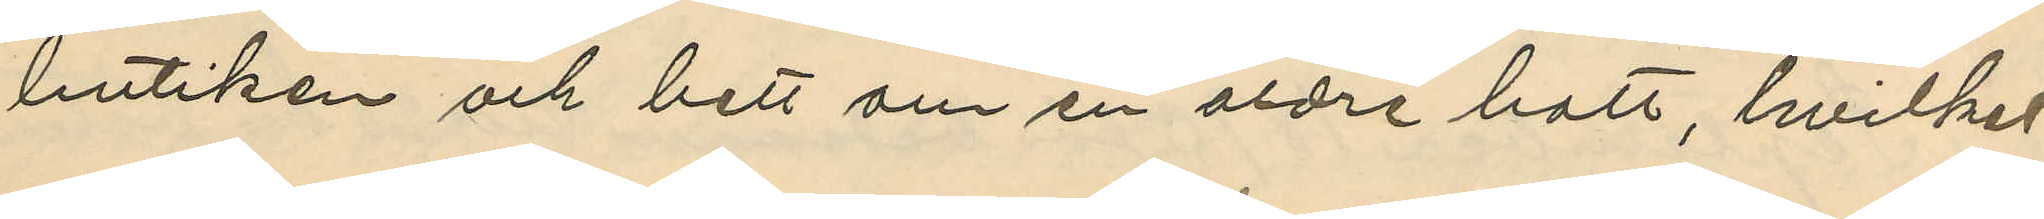butiken och bett om en äldre hatt, hvilket
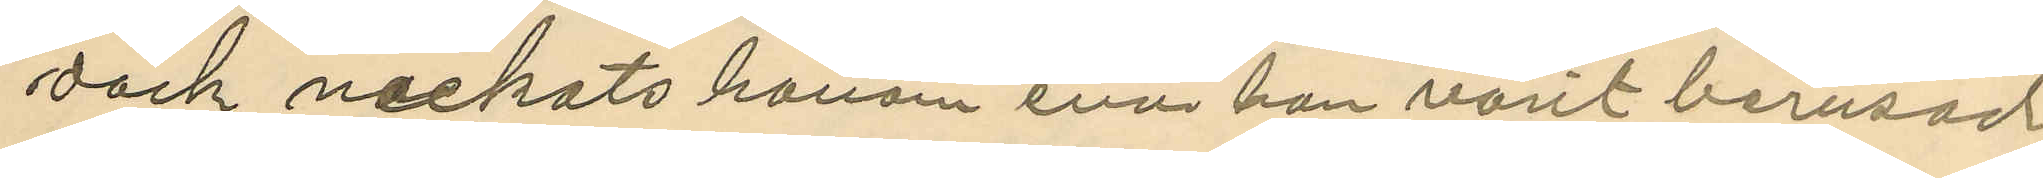dock nekats honom enär han varit berusad.
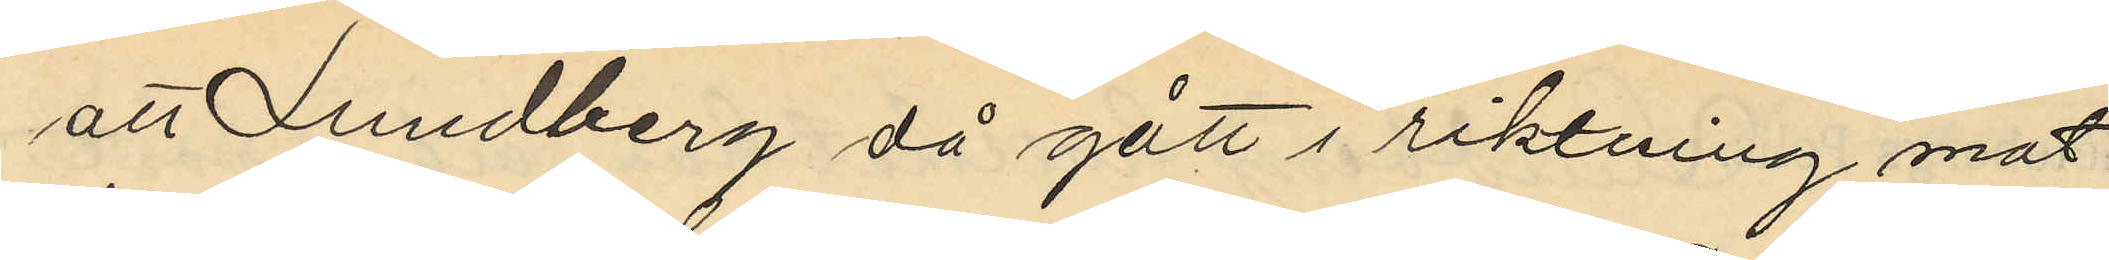att Lundberg då gått i riktning mot
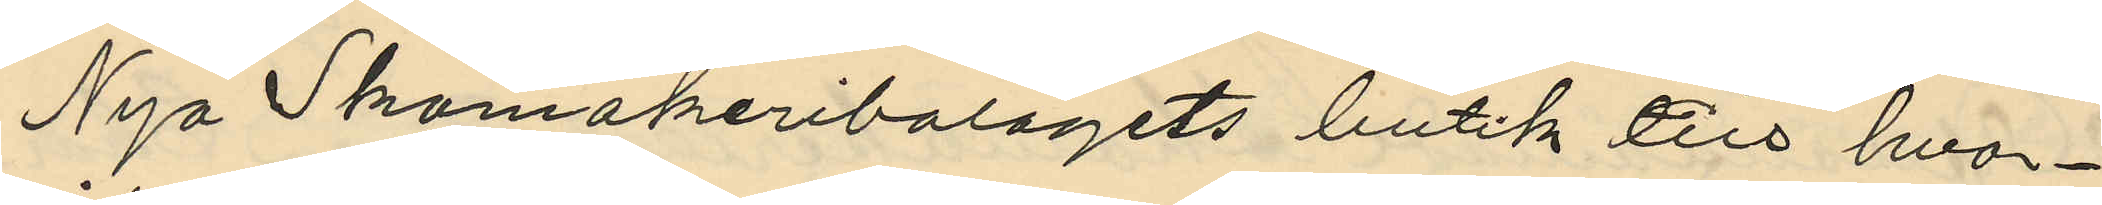Nya Skomakeribolagets butik till hvar¬
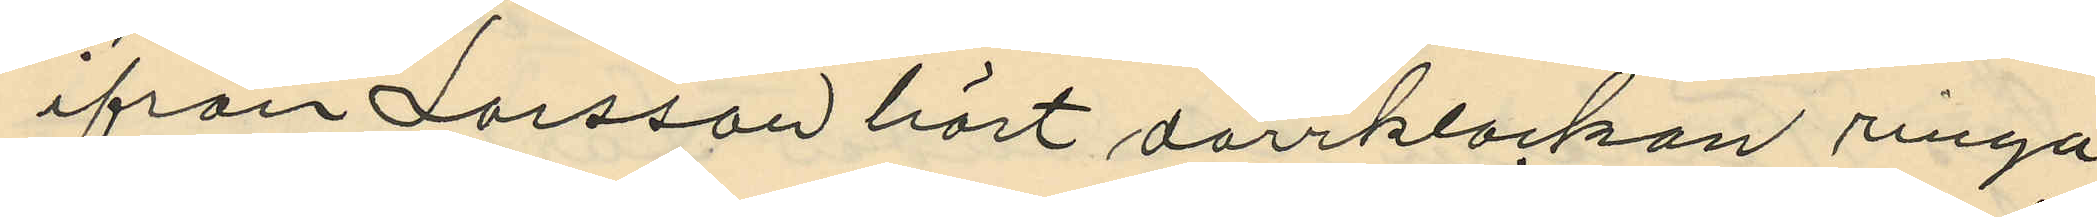ifrån Larsson hört dörrklockan ringa
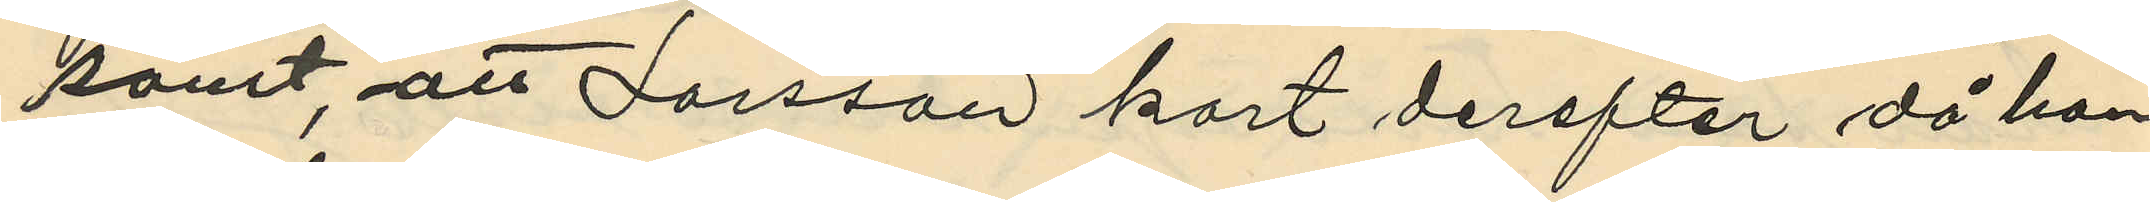samt, att Larsson kort derefter då han
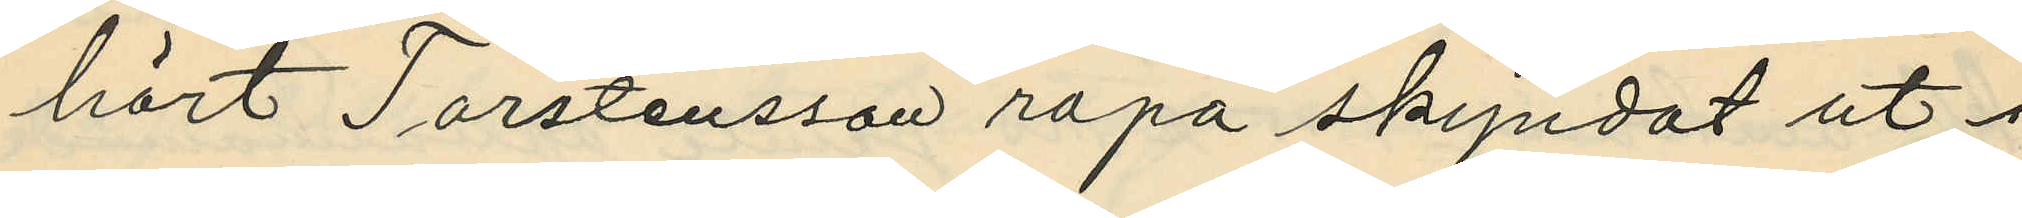hört Torstensson ropa skyndat ut i
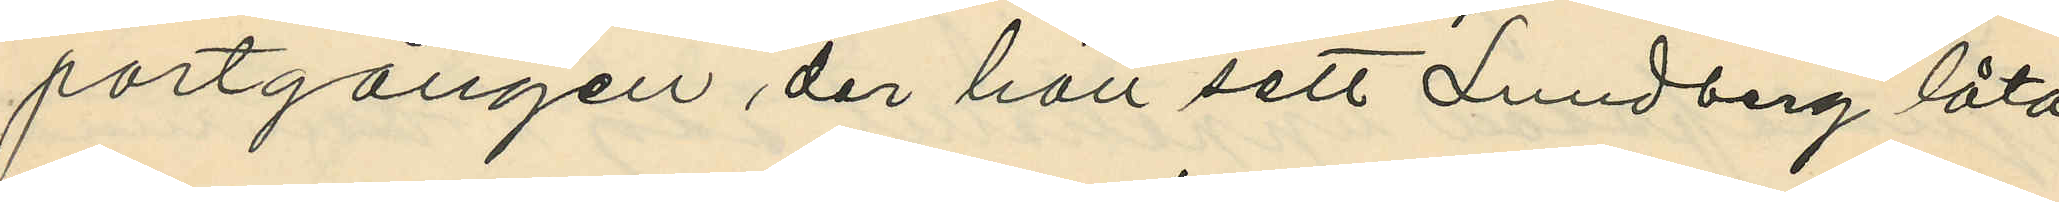portgången der han sett Lundberg låta
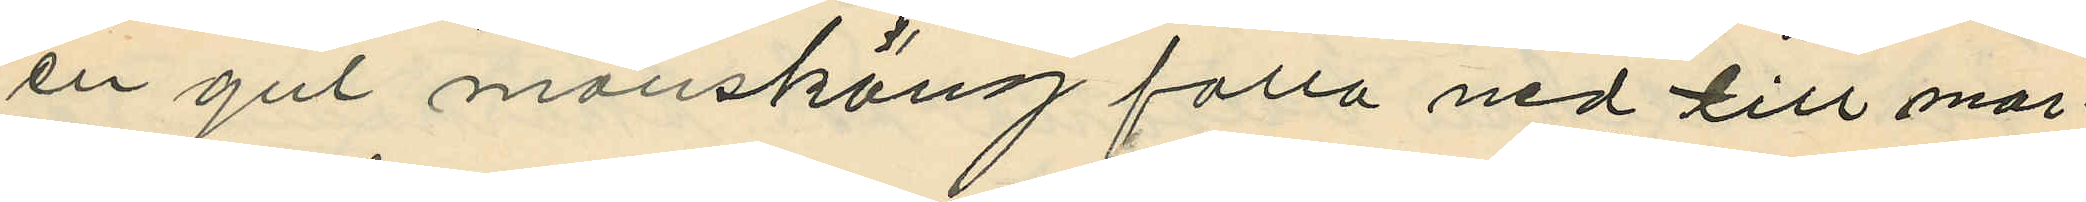en gul manskäng falla ned till mar¬
